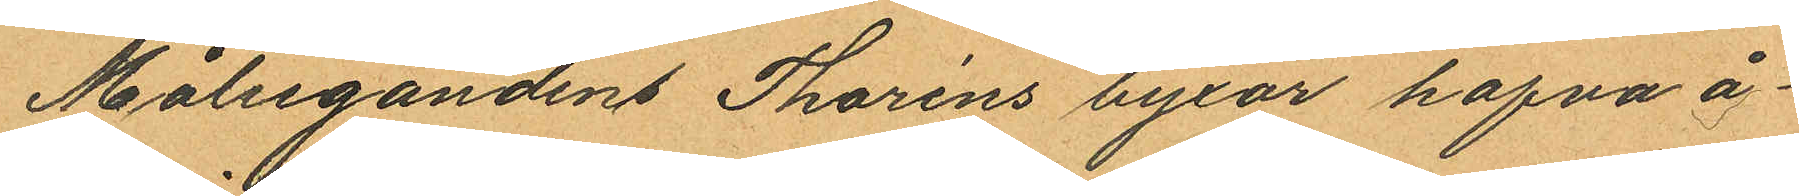Målsegandens Thoréns byxor hafva å¬
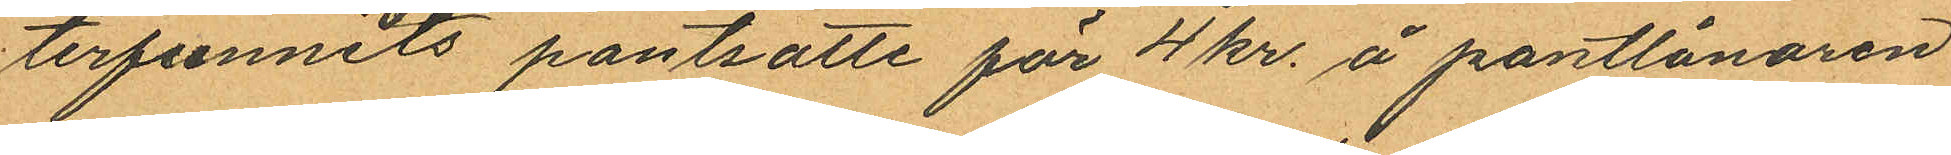terfunnits pantsatte för 4 kr. å pantlånaren
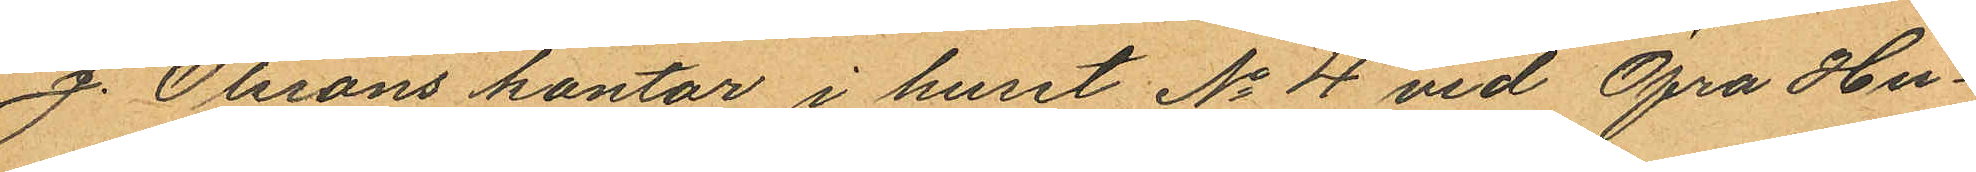J. Olssons kontor i huset No 4 vid Öfra Hu¬
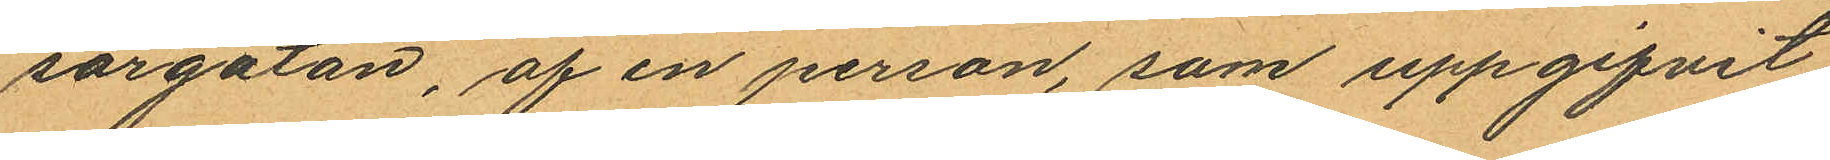sargatan, af en person, som uppgifvit
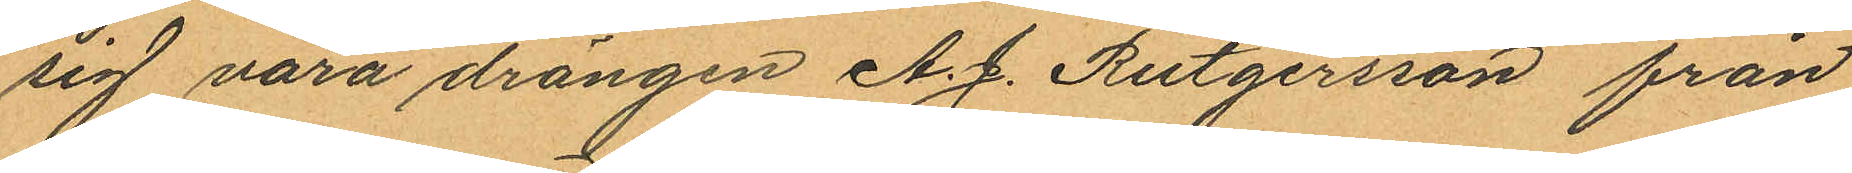sig vara drängen A. J. Rutgersson från
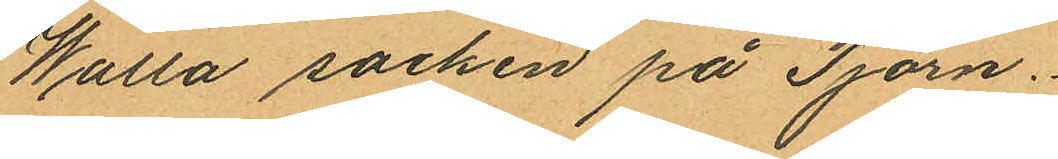Walla socken på Tjörn.
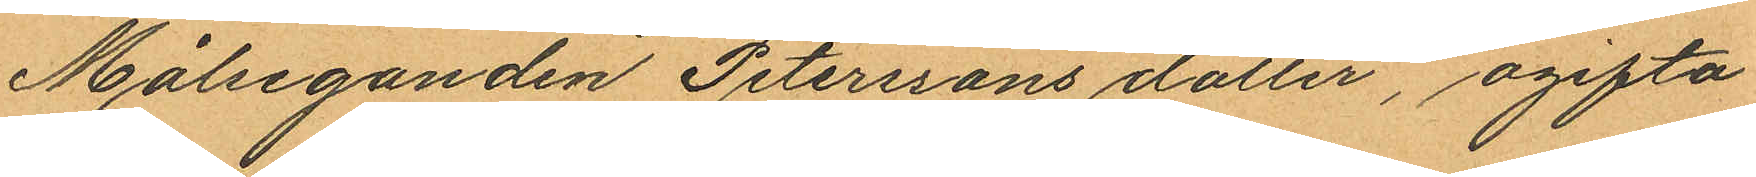Målseganden Peterssons dotter, ogifta
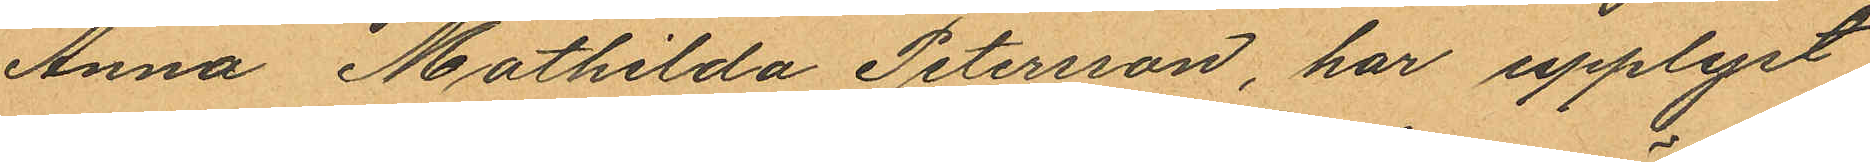Anna Mathilda Petersson, har upplyst
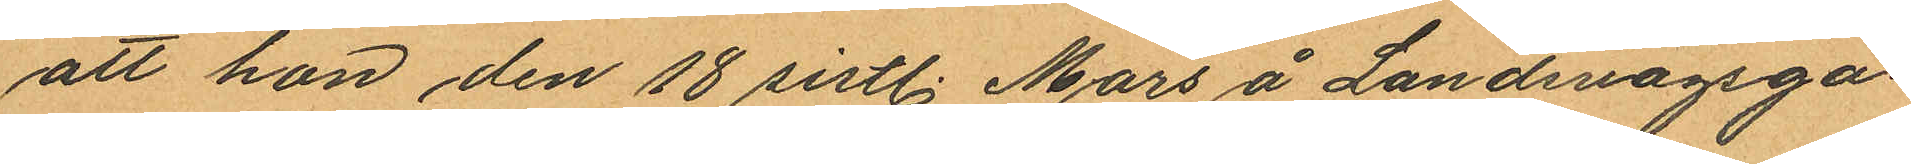att hon den 18 sistl. Mars å Landsvägsga¬
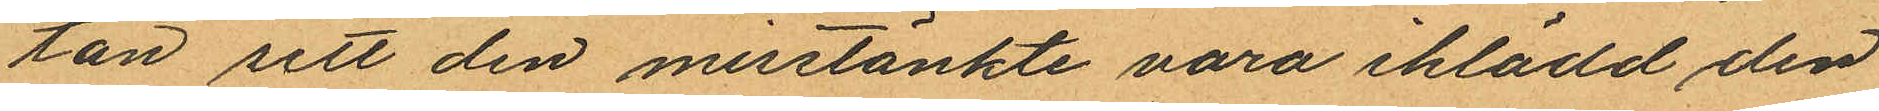tan sett den misstänkte vara iklädd den
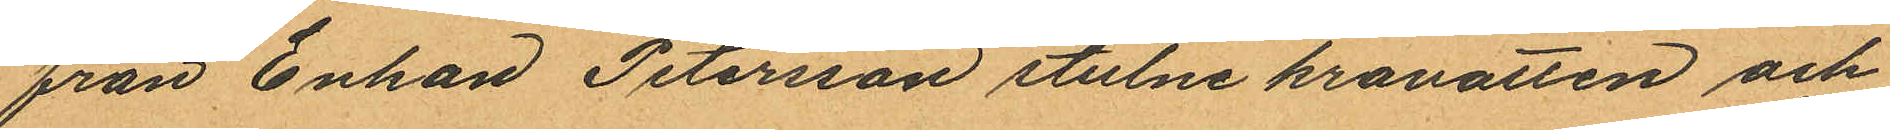från Enkan Petersson stulne kravatten och
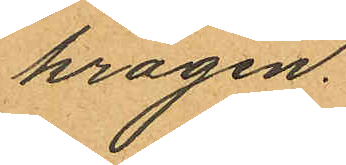kragen.
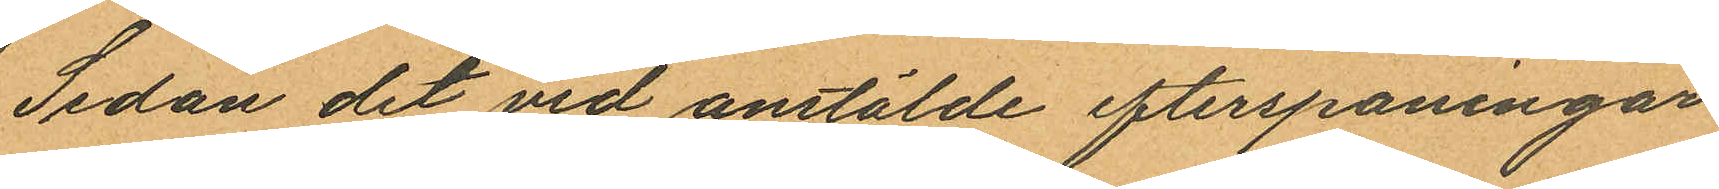Sedan det vid anstälde efterspaningar
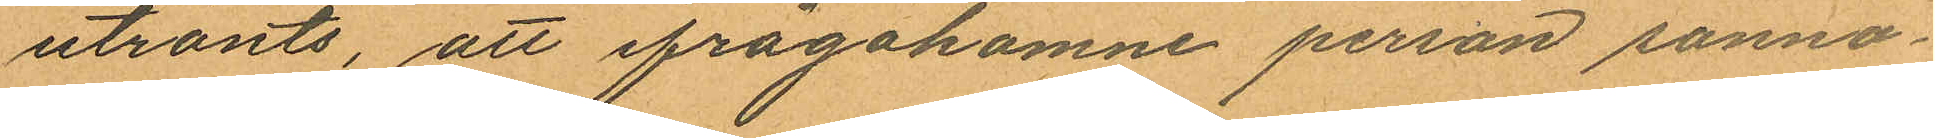utrönts, att ifrågakomne person sanno¬
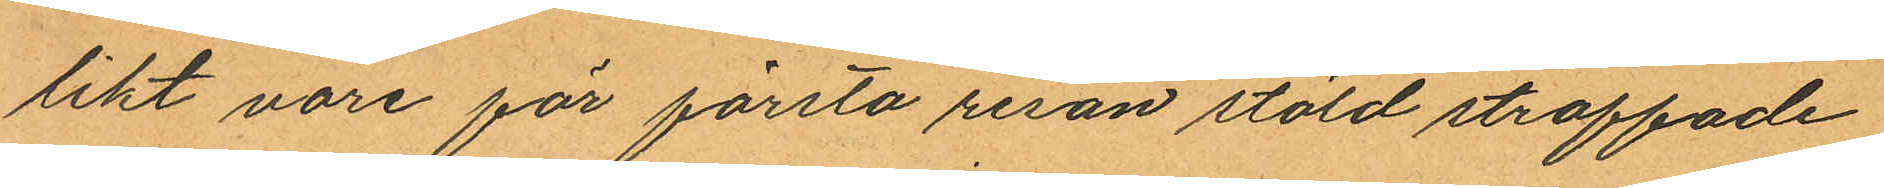likt vore för första resan stöld straffade
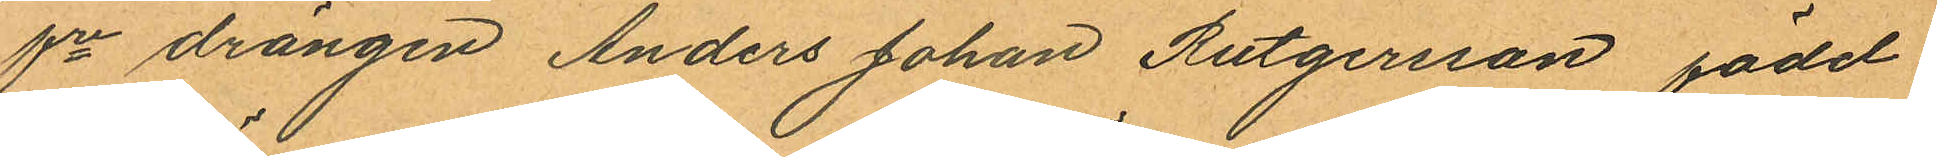fre drängen Anders Johan Rutgersson, född
